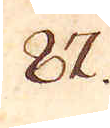87.
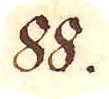88.
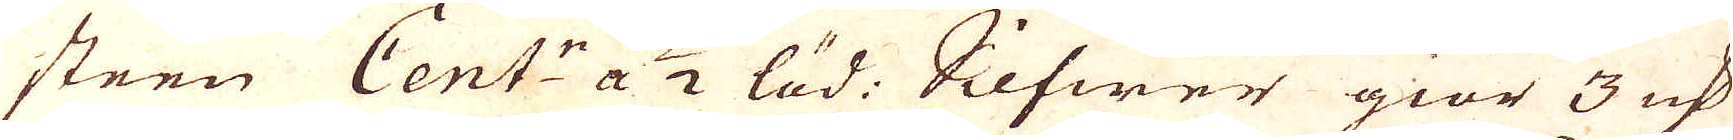steen Cent:r a 1/2 löd. Silfwer giör 3 qv:r
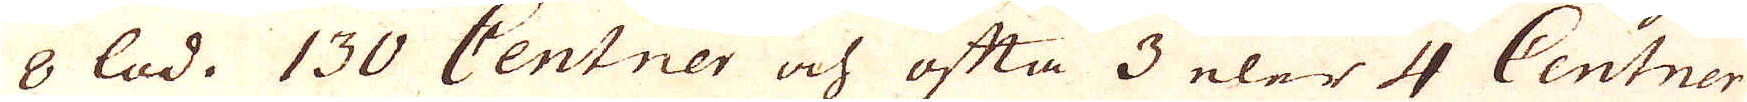8 lod. 130 Centner och ofta 3 eler 4 Centner
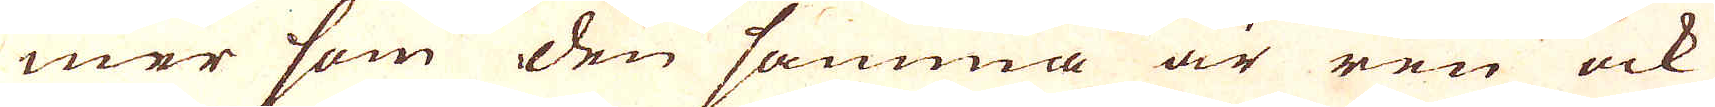mer som den samma är ren ock
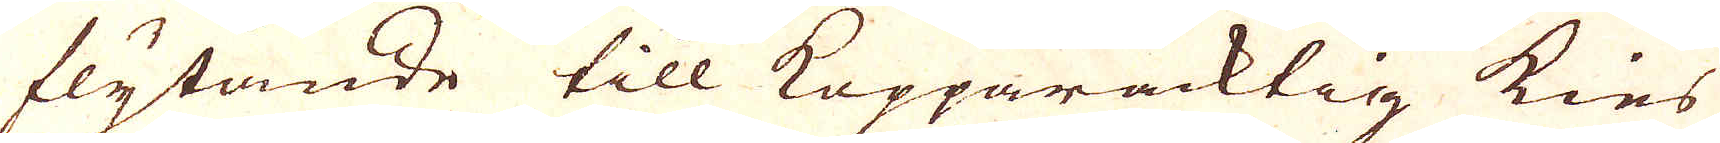flytande till Kopparacktig kies
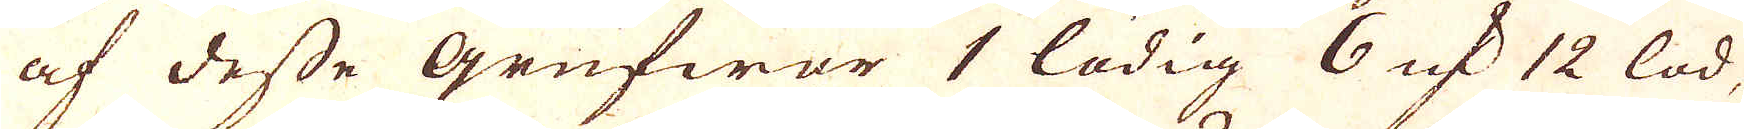af desse Grufwor 1 lödig 6 qv:r 12 lod,
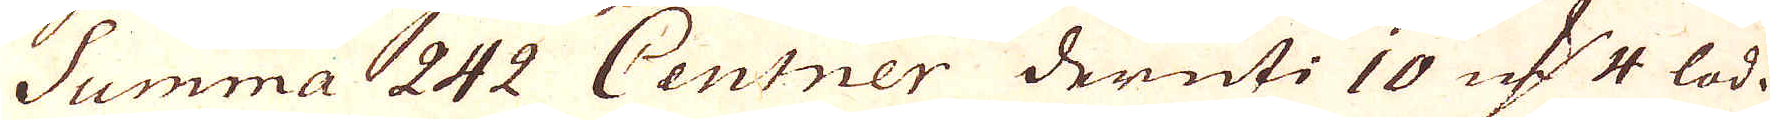Summa 242 Centner deruti 10 qv:r 1/4 lod.
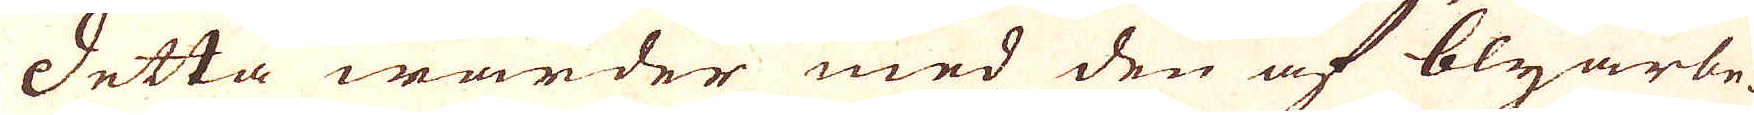Detta warder med den af blyarbe-
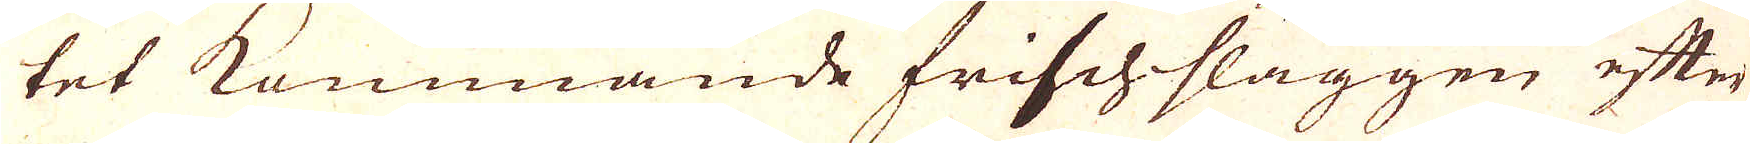tet kommande frischslaggen efter
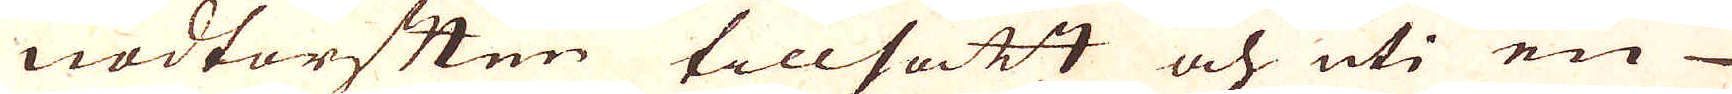nödtorften tillsatt och uti en
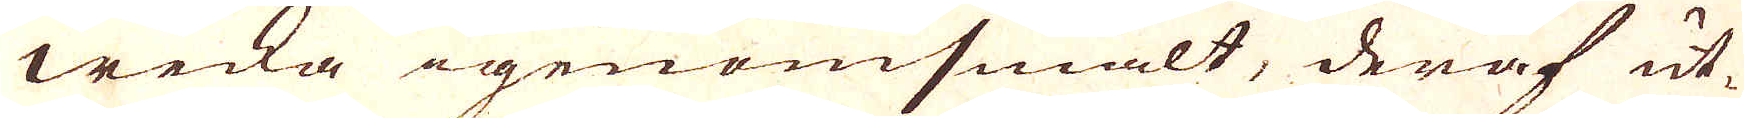wecka igenomsmält, deraf ut-
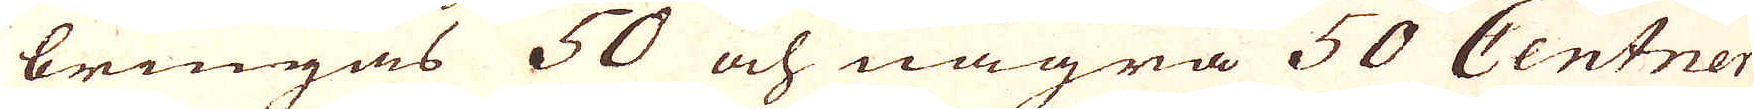bringas 50 och några 50 Centner
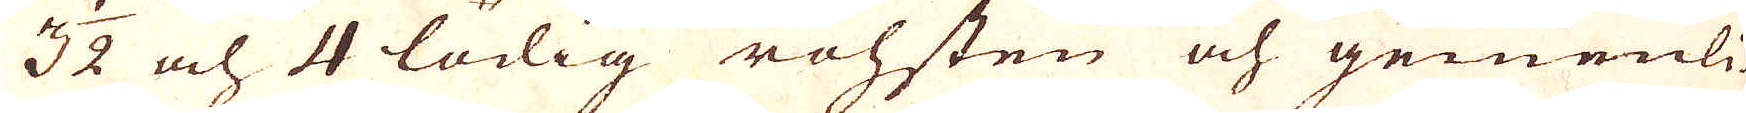3 1/2 och 4 lödig rohsten och gemenli-
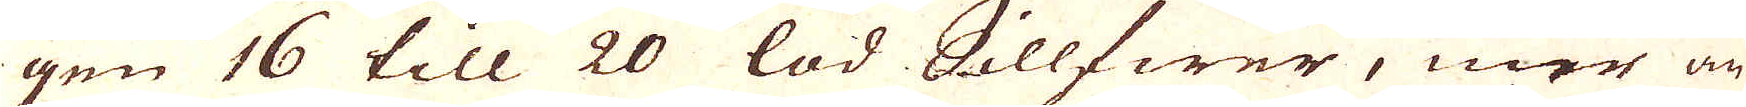gen 16 till 20 lod Sillfwer, mer än
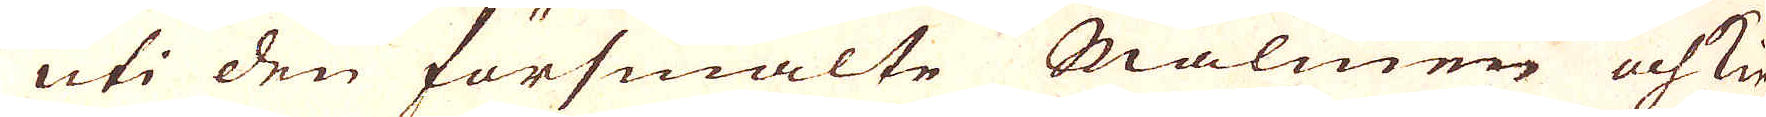uti den försmälte Malmen och kie-
